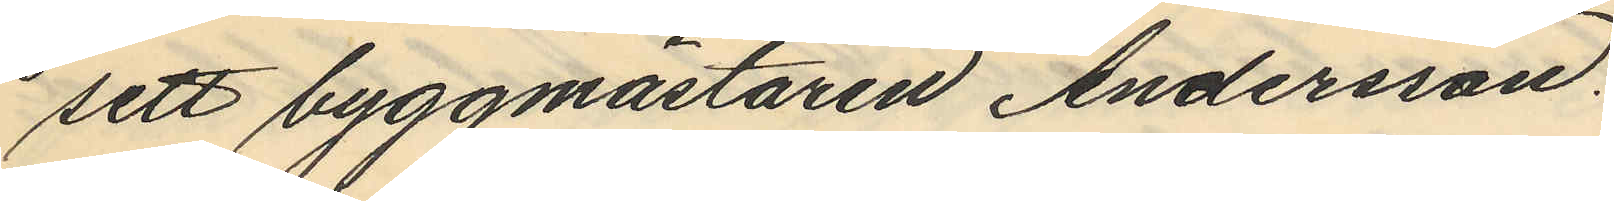sett byggmästaren Andersson.
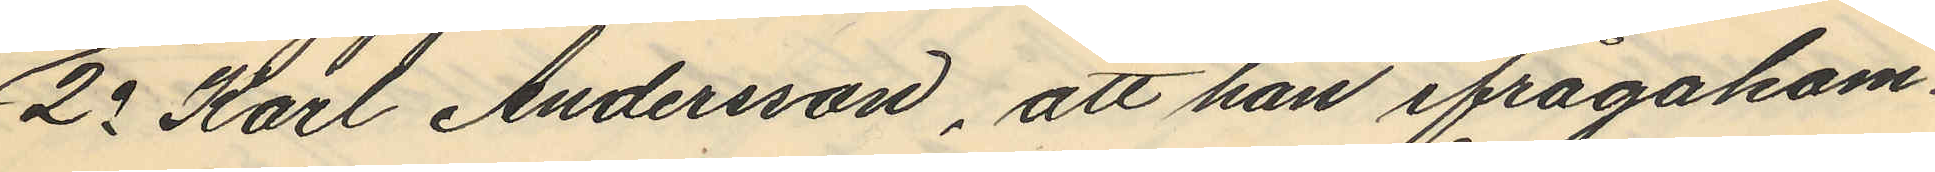2o Karl Andersson, att han ifrågakom¬
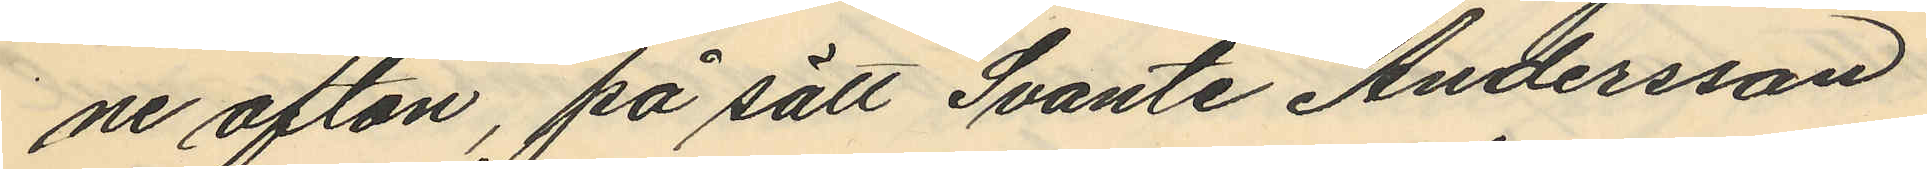ne afton, på sätt Svante Andersson
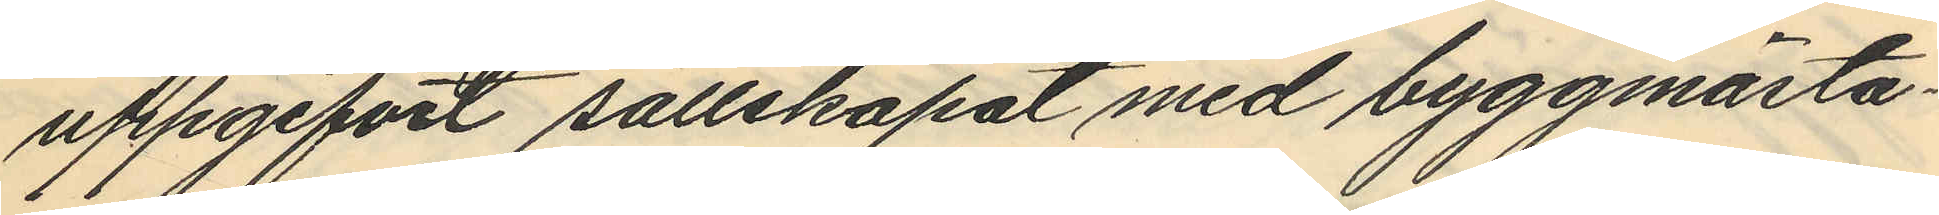uppgifvit sällskapat med byggmästa¬
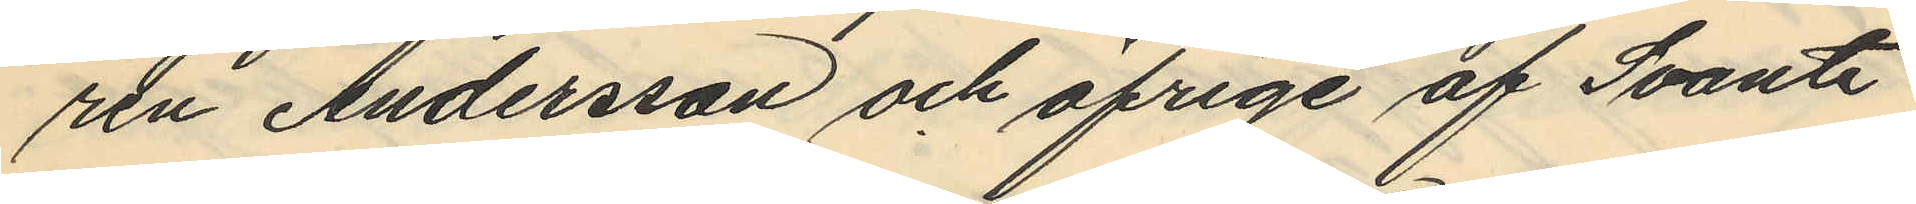ren Andersson och öfrige af Svante
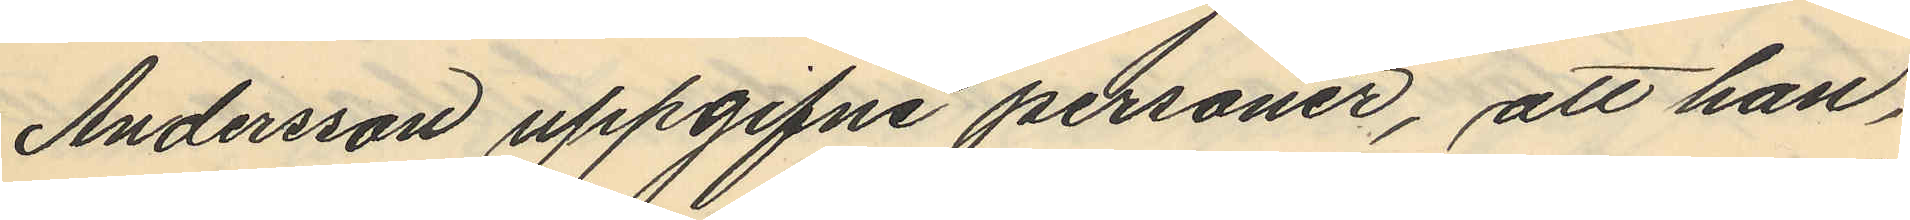Andersson uppgifne personer, att han,
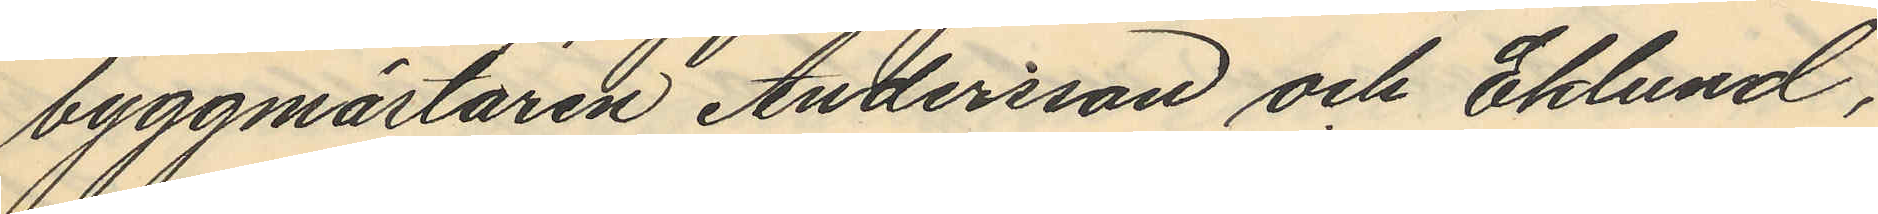byggmästaren Andersson och Eklund,
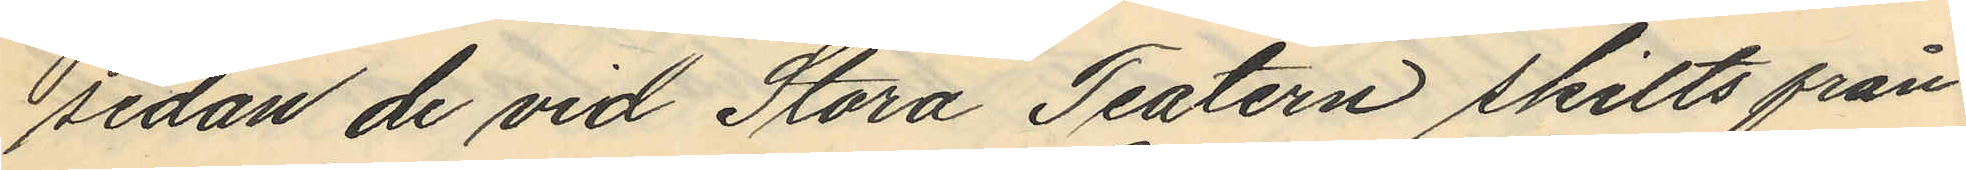sedan de vid Stora Teatern skilts från
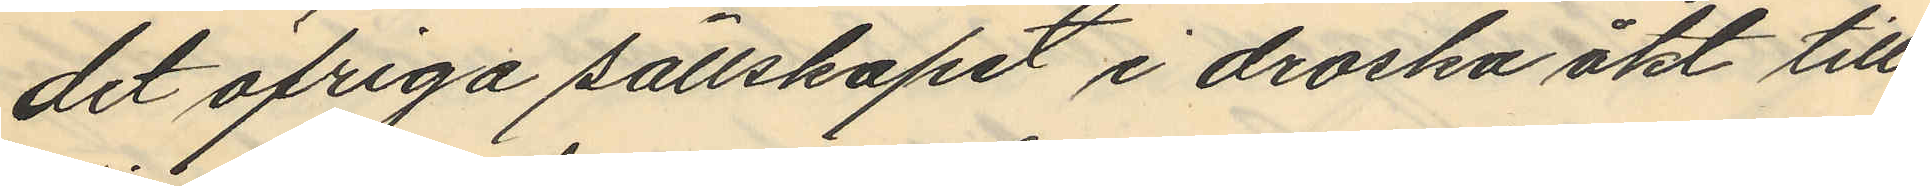det öfriga sällskapet i droska åkt till
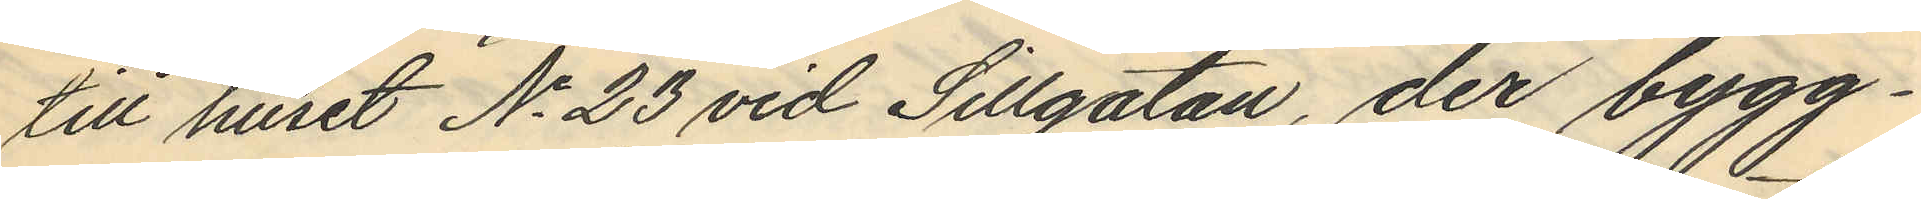till huset No 23 vid Sillgatan, der bygg¬
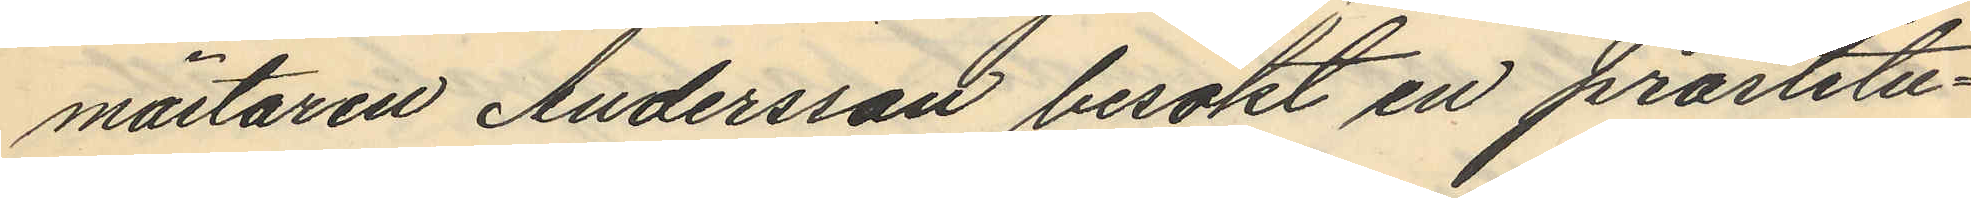mästaren Andersson besökt en prostitu¬
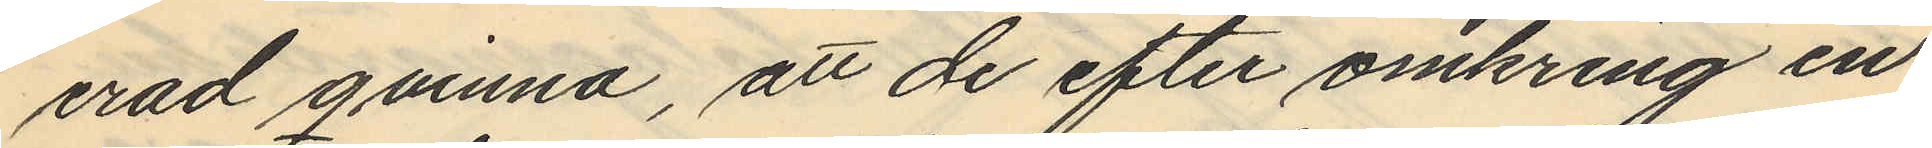erad qvinna, att de efter omkring en
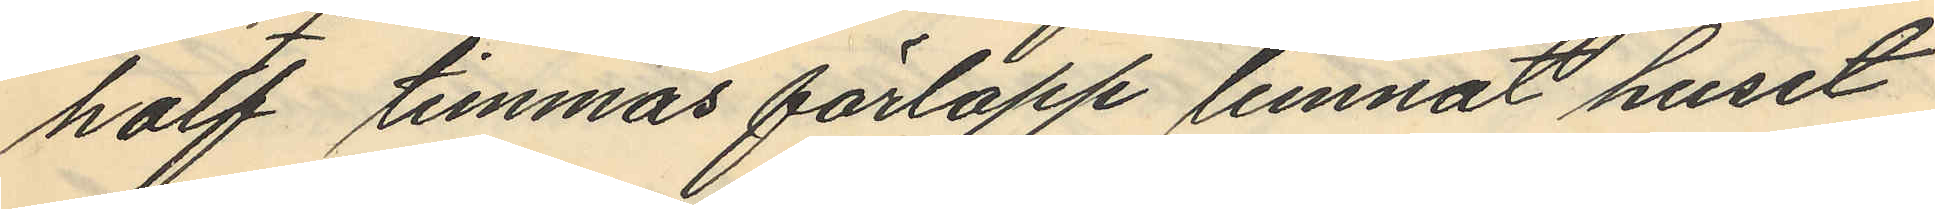half timmas förlopp lemnat huset
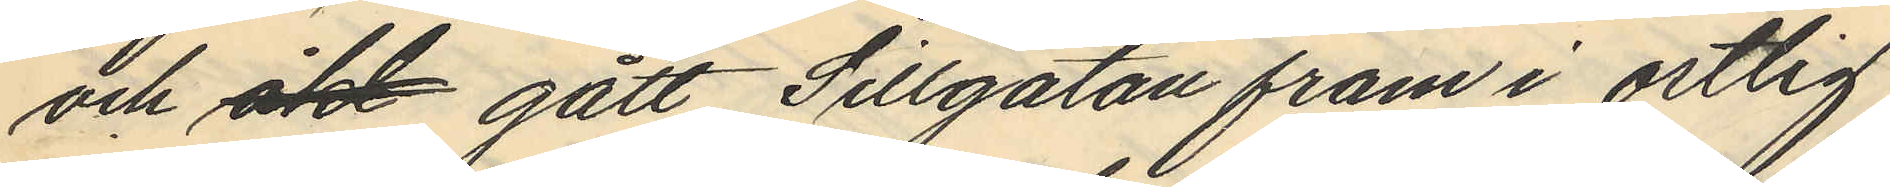och åkt gått Sillgatan fram i ostlig
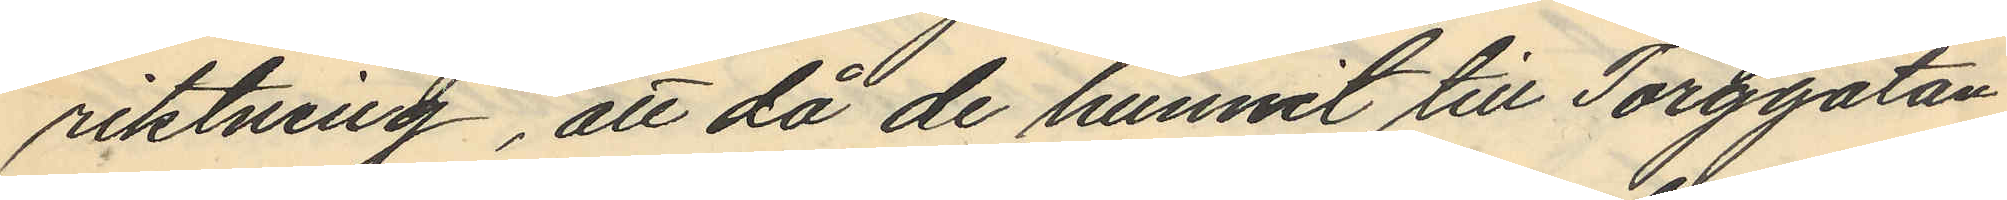riktning, att då de hunnit till Torggatan
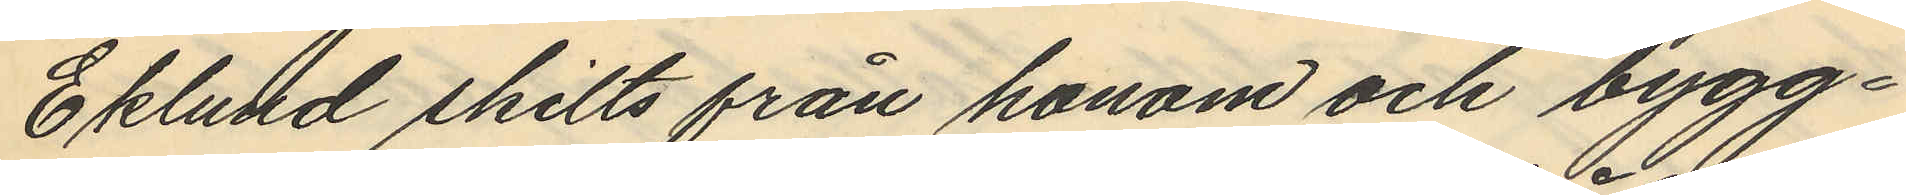Eklund skilts från honom och bygg¬
